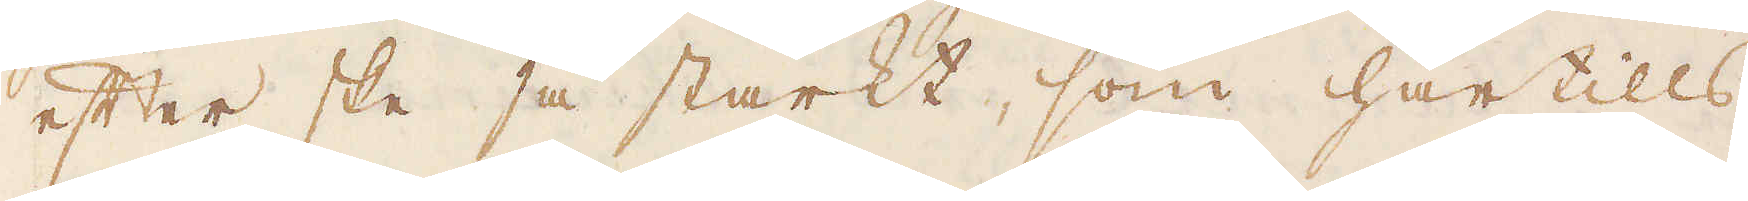efter ske så starkt, som härtills,
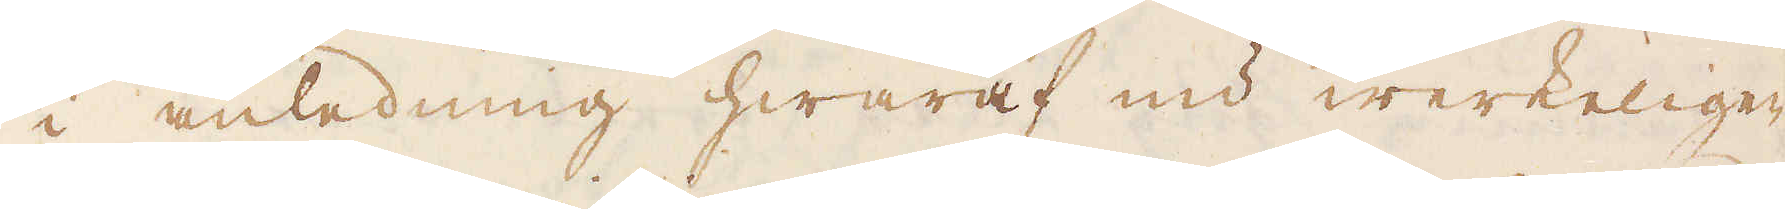i anledning hwaraf nu werkeligen
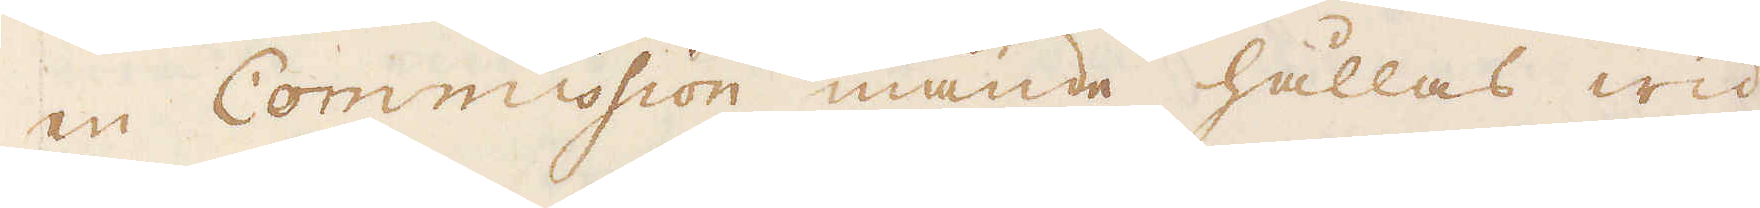en Commission månde hållas wid
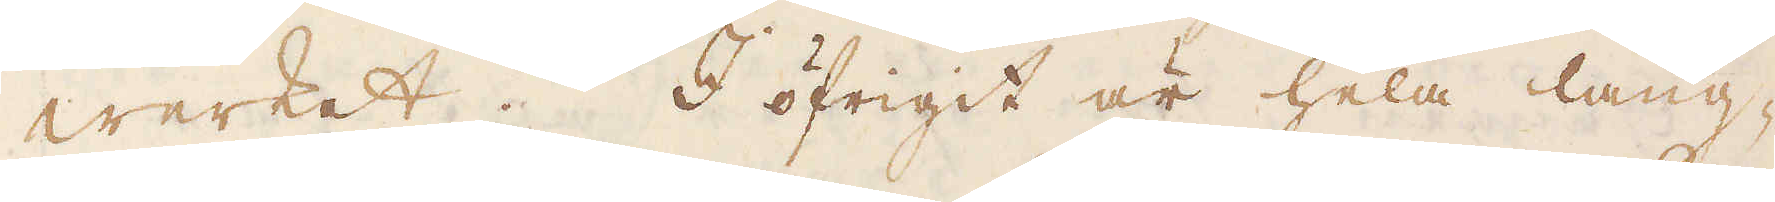werket. I öfrigit är hela läng-
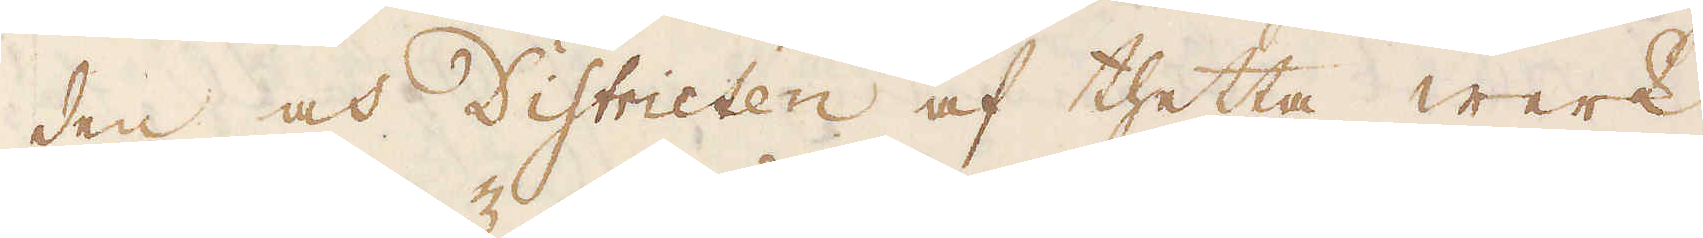den och Districten af thetta werk
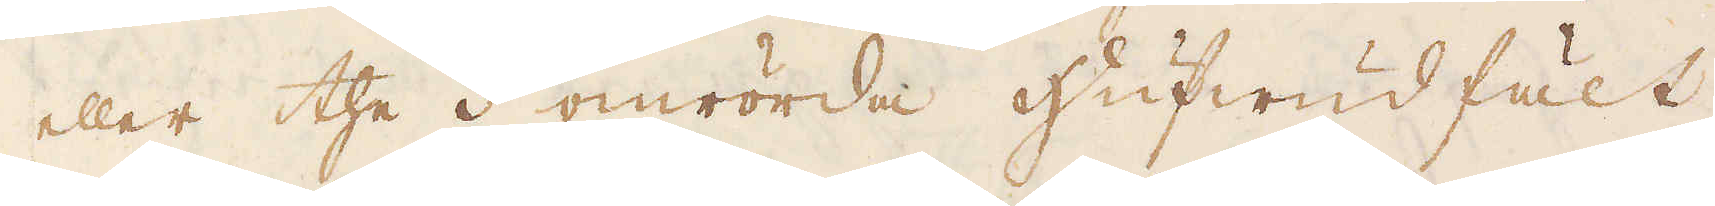eller the 3 omrörda Hufwud fält
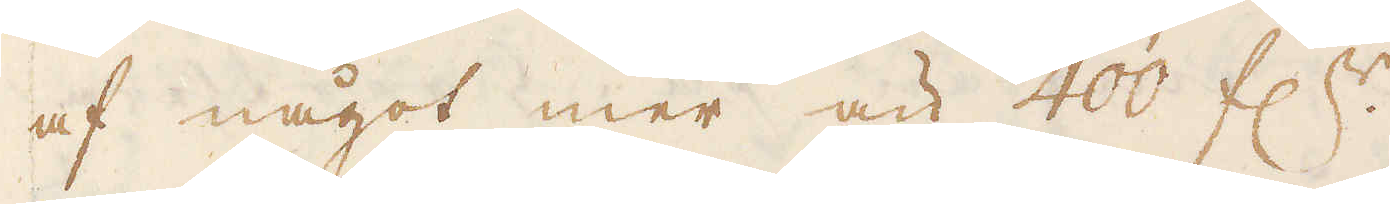af något mer än 400 f:r.
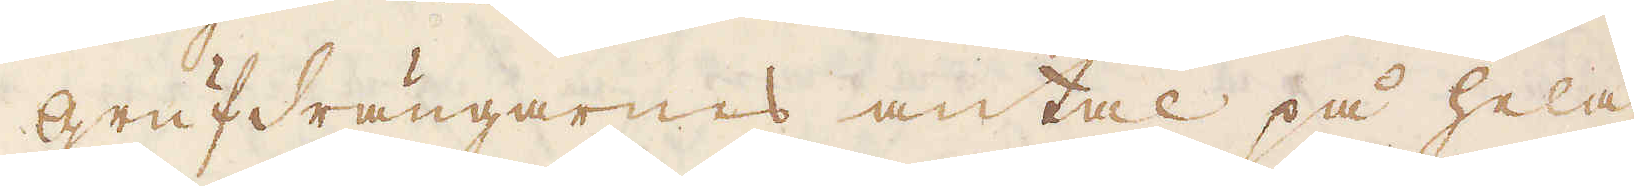Grufdrängarnas antal på hela
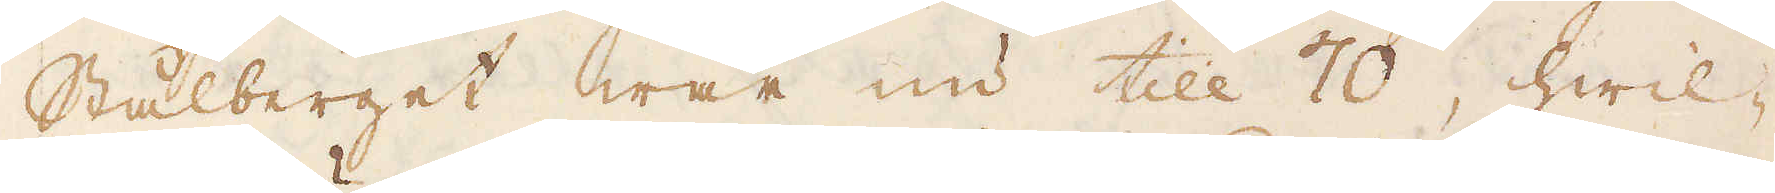Stålberget war nu till 70, hwil-
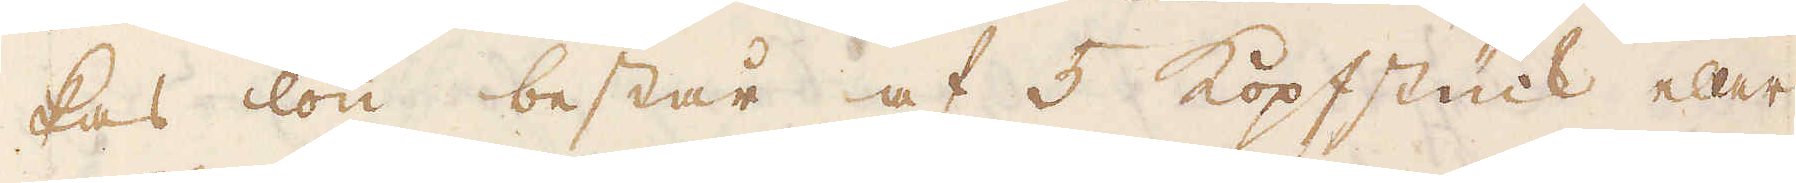kas lön består af 5 Kopfstück eller
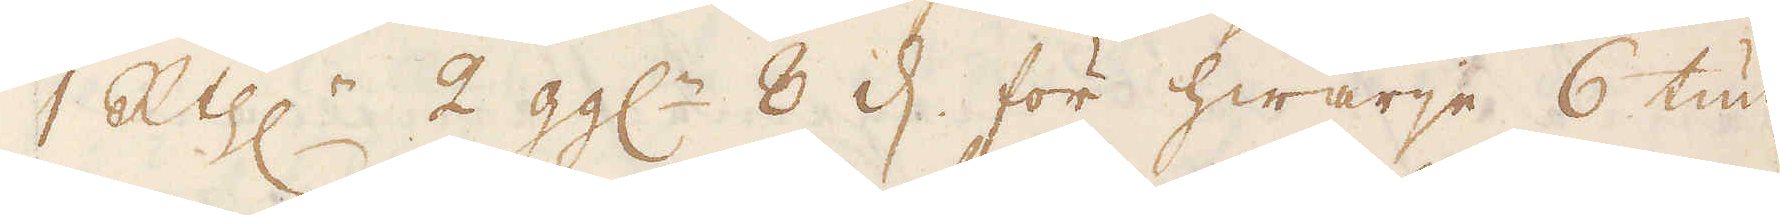1 R:thlr 2 gg:r 8 d. för hwarje 6 tun-
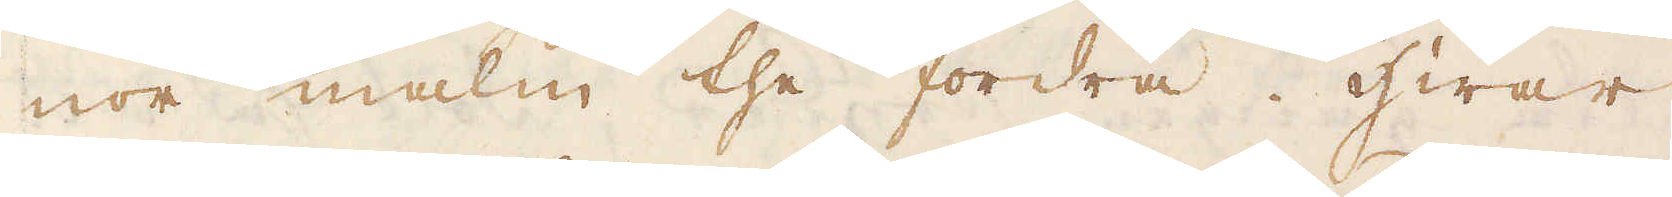nor malm the fordra. Hwar
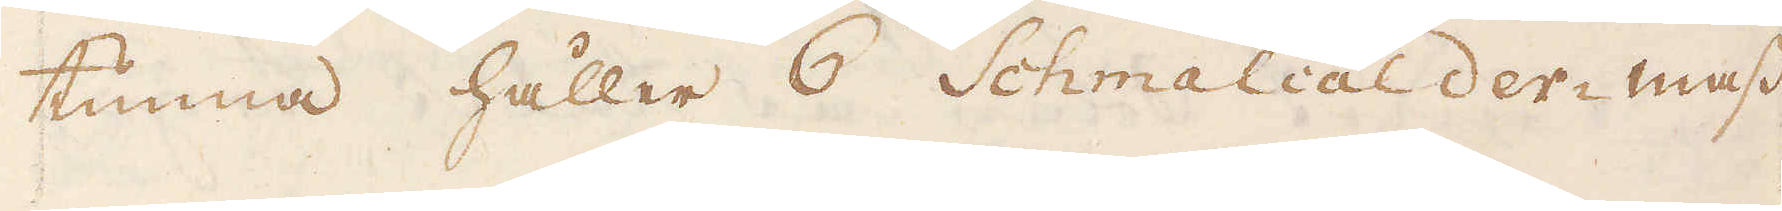tunna håller 6 Schmalcalder mass
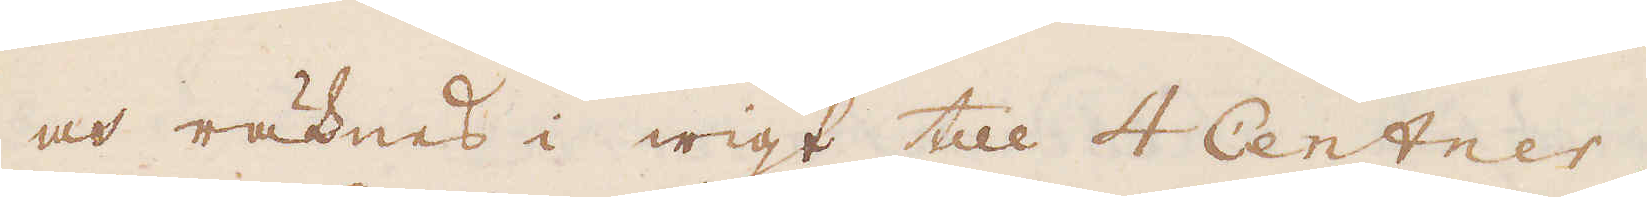och räknes i wigt till 4 Centner,
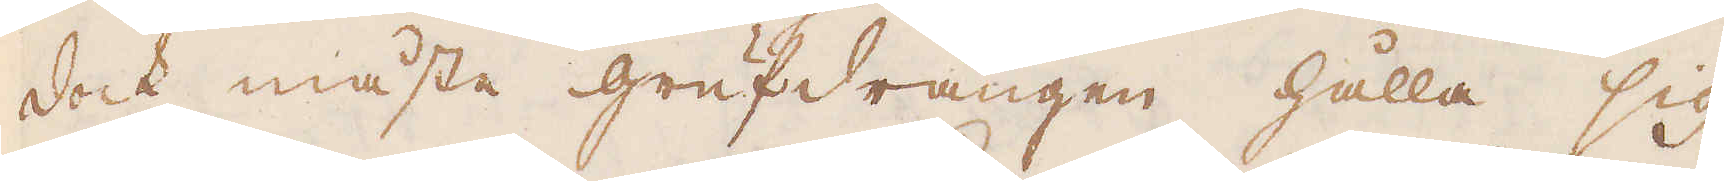dock måste grufdrängen hålla sig
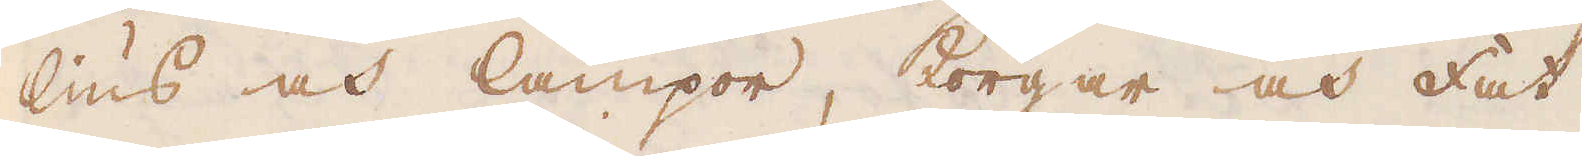lius och lampor, korgar och Fat,
